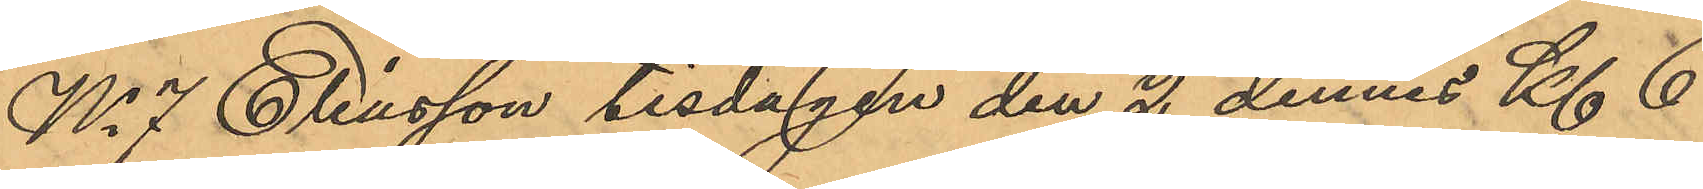No 7 Eliasson tisdagen den 2 dennes Kl 6
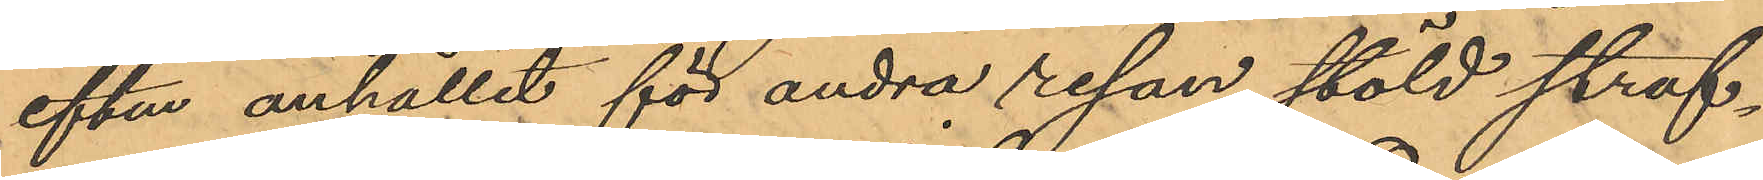eftm anhållit för andra resan stöld straf¬
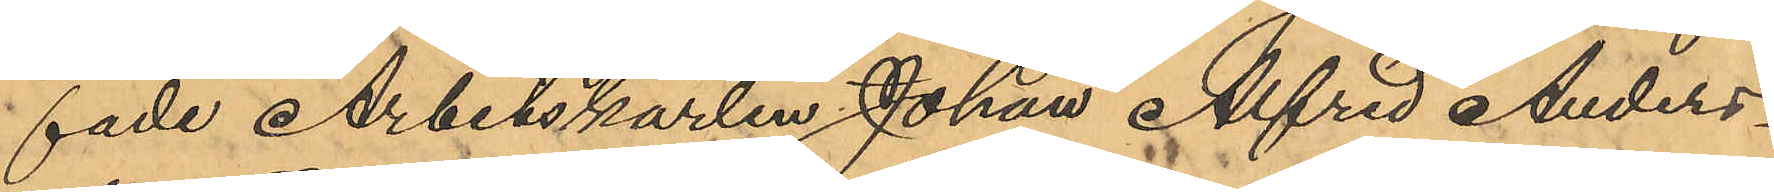fade Arbetskarlen Johan Alfred Anders¬
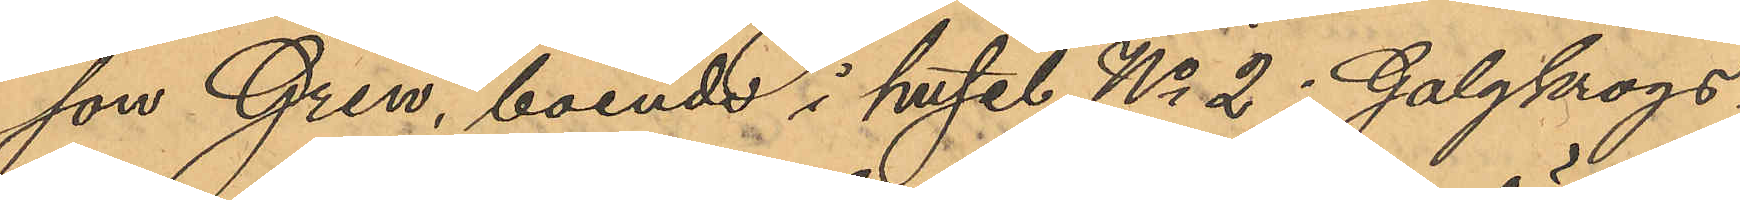son Gren, boende i huset No 2 i Galgkrogs¬
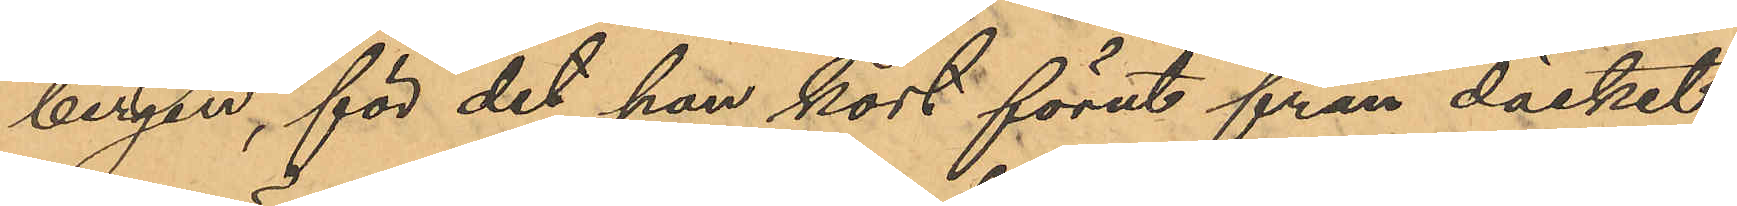bergen, för det han kort förut från däcket
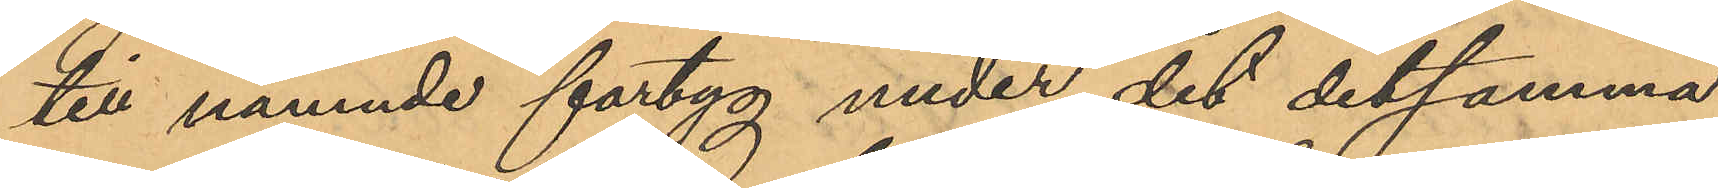till nämnde fartyg under det detsamma
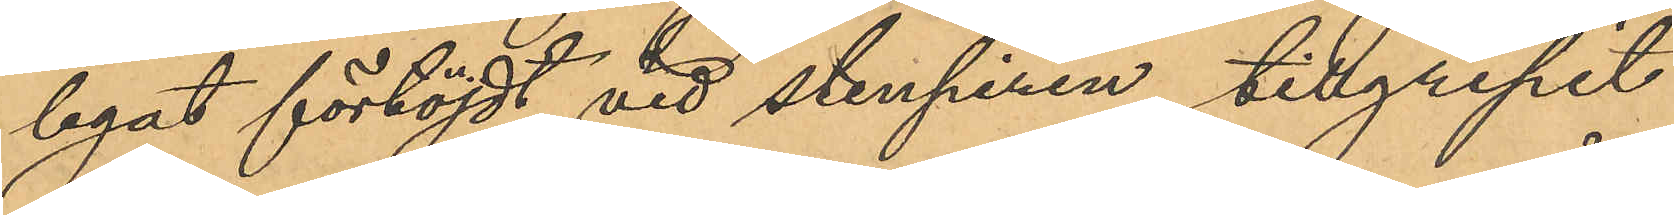legat förtöjdt vid Stenpiren tillgripit
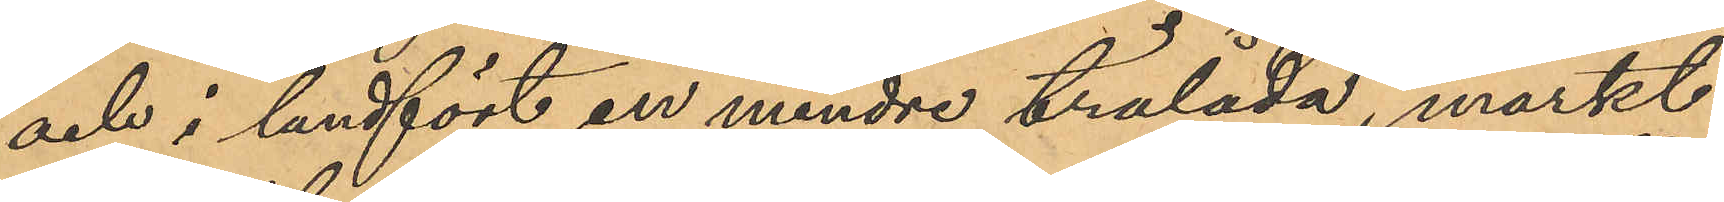och i landfört en mindre trälåda, märkt
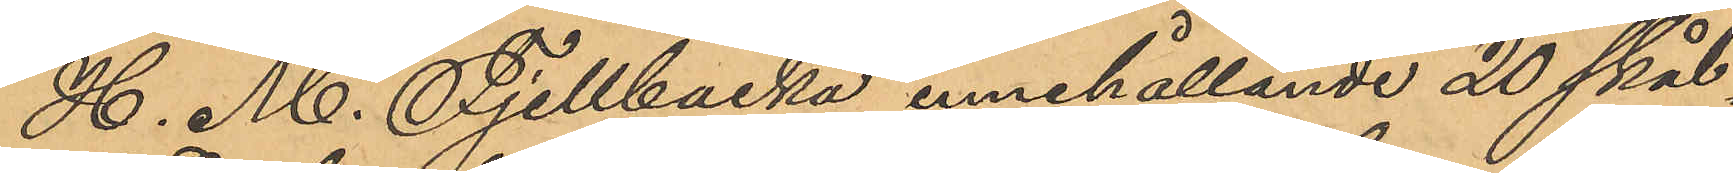H. M. Fjellbacka, innehållande 20 skål¬
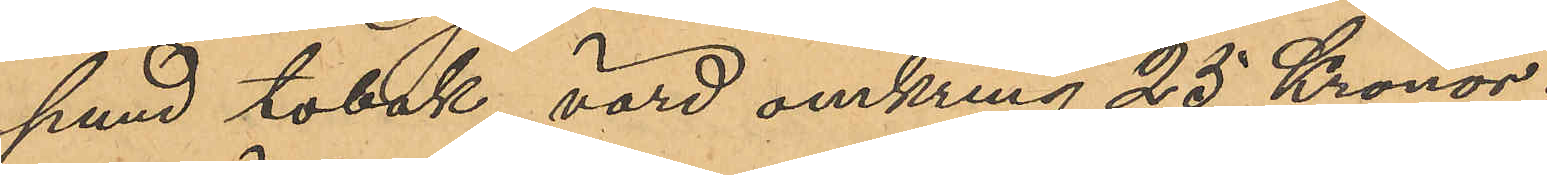pund tobak, värd omkring 25 Kronor.
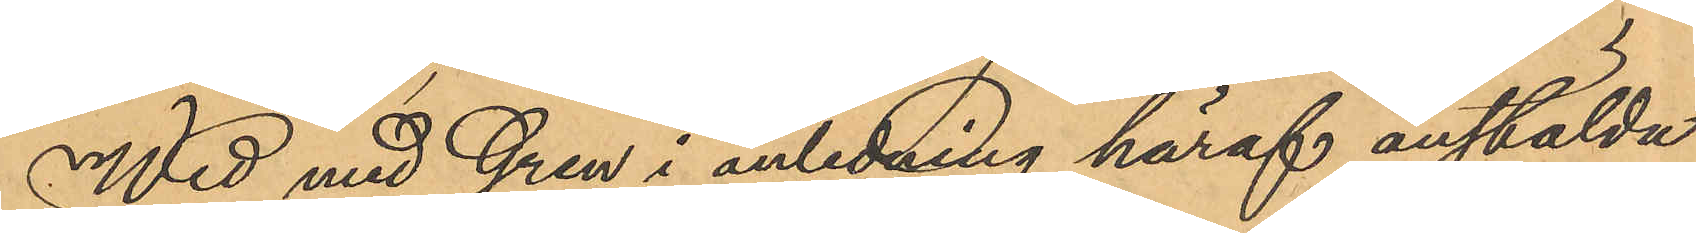Wid med Gren i anledning häraf anstälda
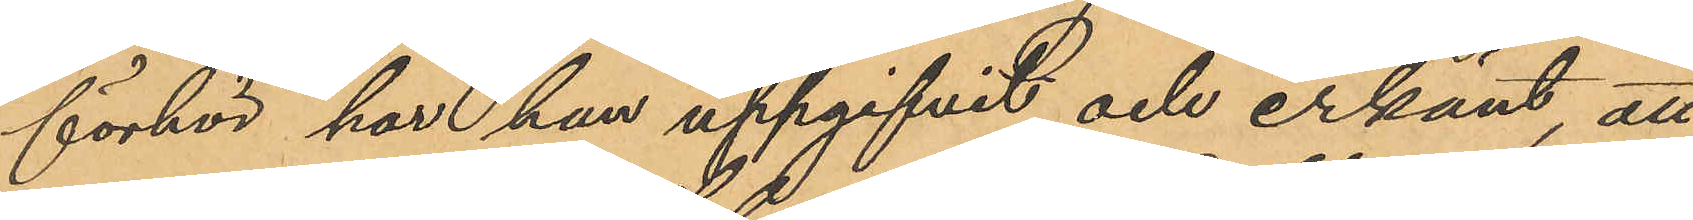förhör, har han uppgifvit och erkänt, att
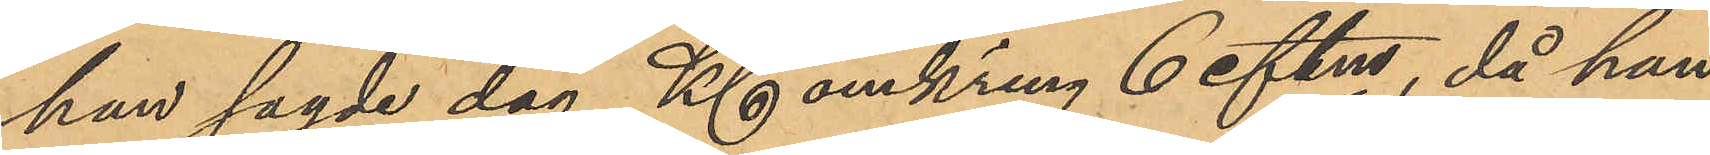han sagde dag Kl omkring 6 eftm, då han
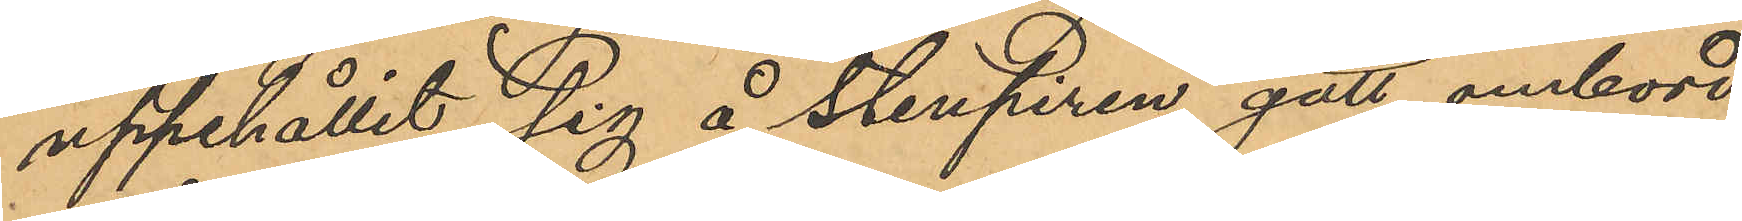uppehållit sig å Stenpiren gått ombord
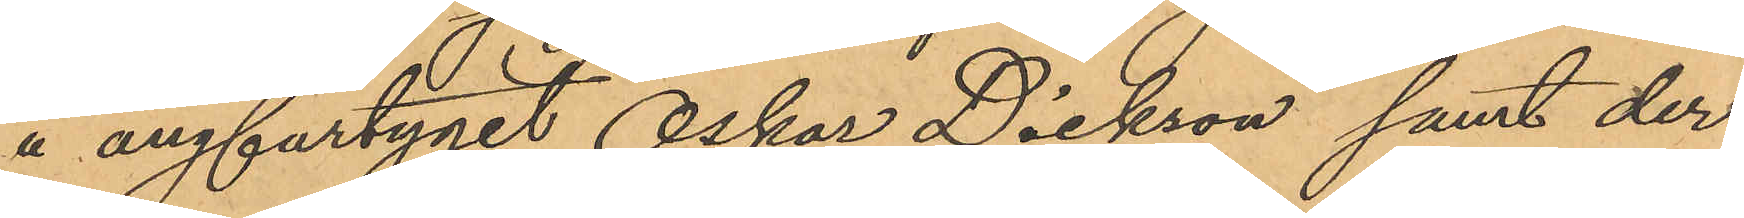å ångfartyget "Oskar Dickson" samt der
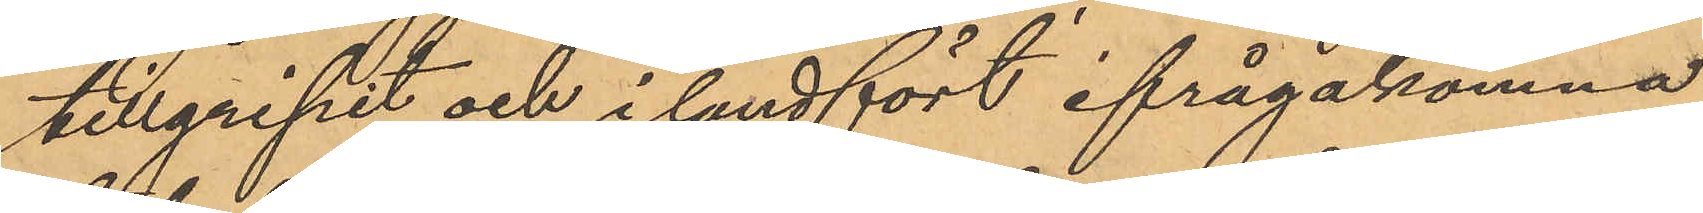tillgripit och i landfört ifrågakomna
